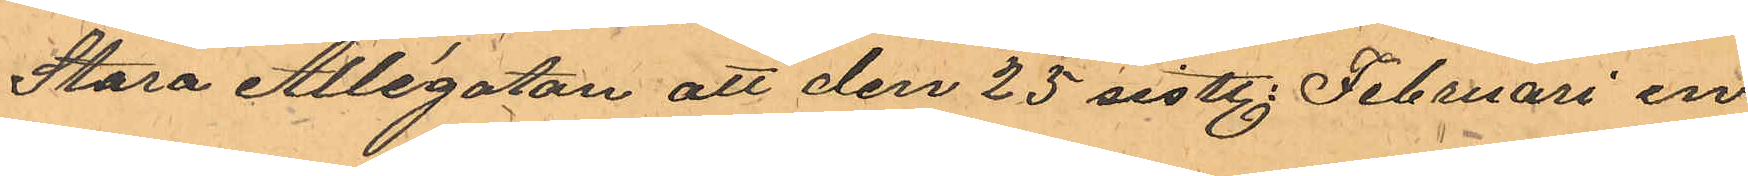Stora Allégatan att den 25 sistl. Februari en
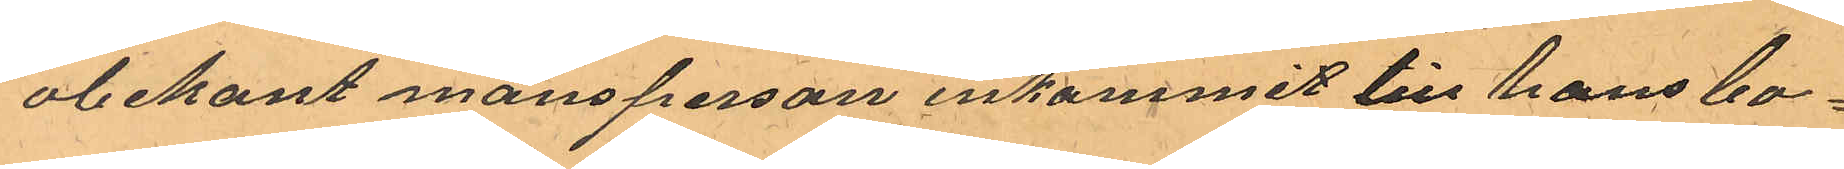obekant mansperson inkommit till hans bo¬
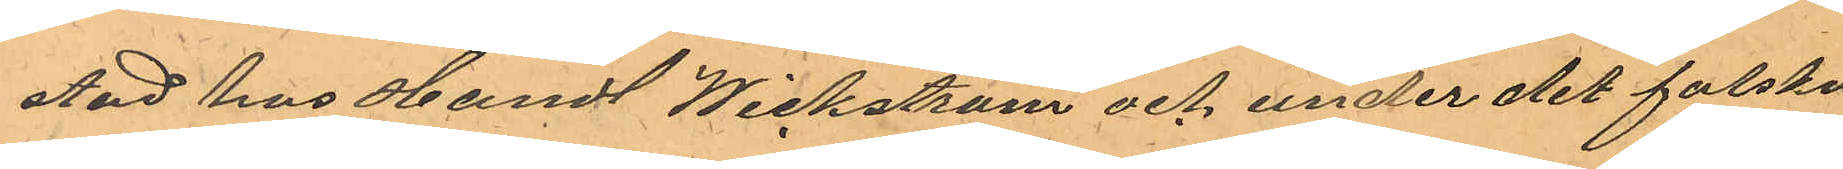stad hos Handl Wickström och under det falska
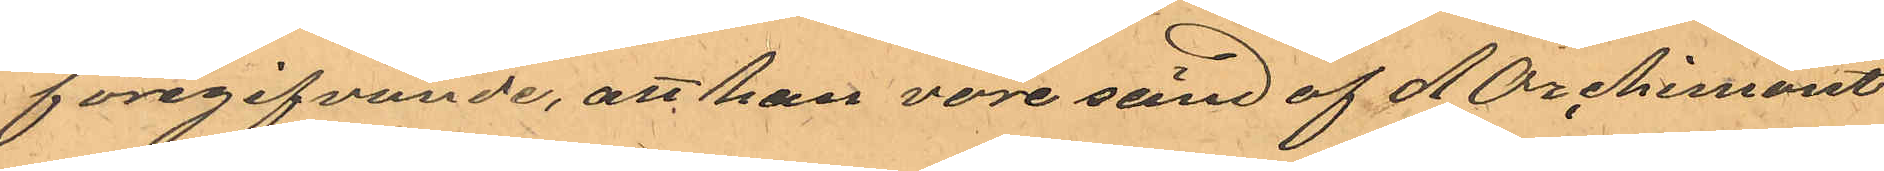föregifvande, att han vore sänd af d Orchimont
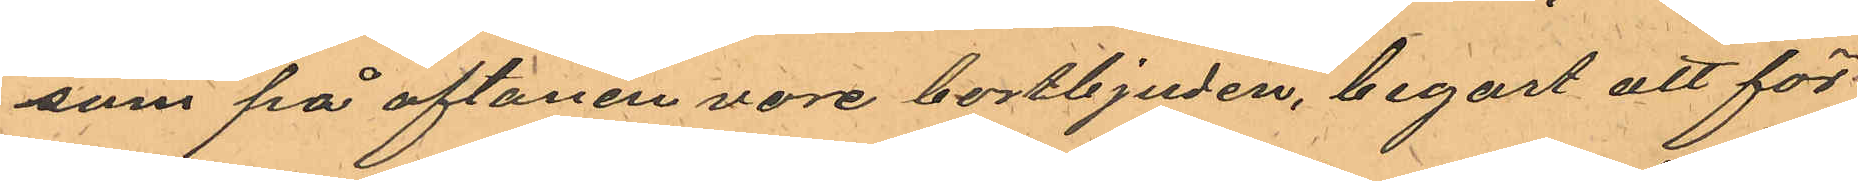som på aftonen vore bortbjuden, begärt att för
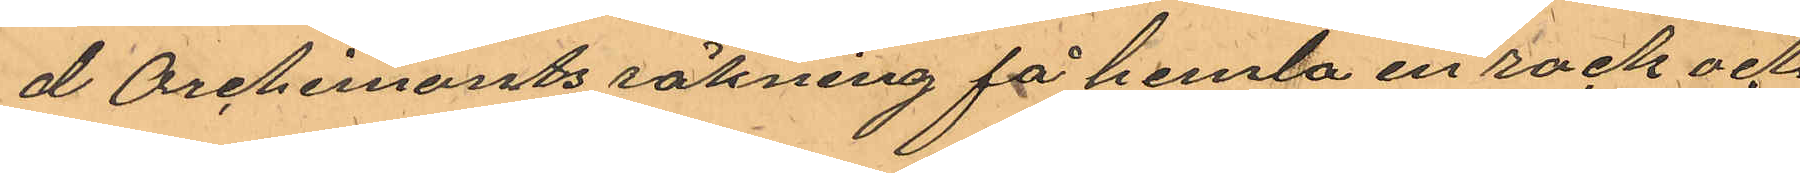d Orchemonts räkning få hemta en rock och
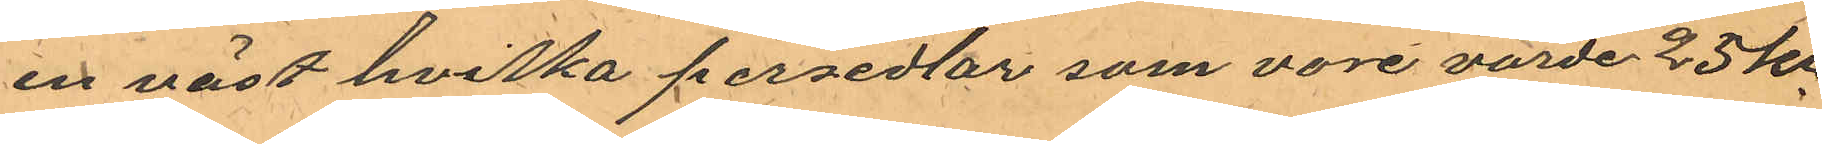en väst hvilka persedlar vore värde 25 kr
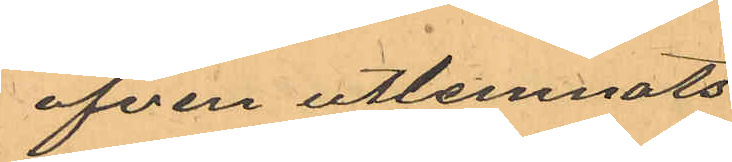äfven utlemnats.
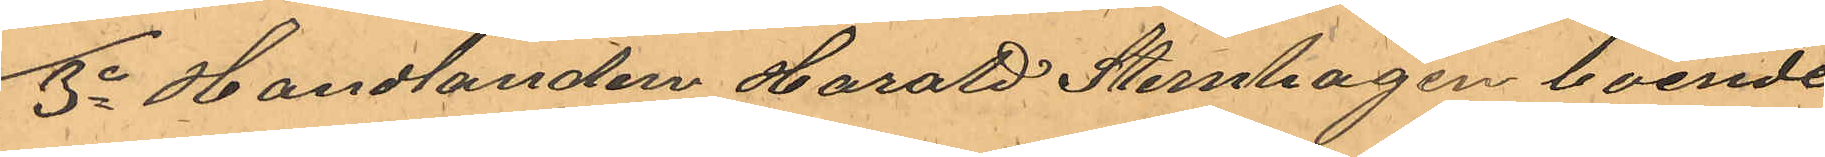3o Handlanden Harald Sternhagen boende
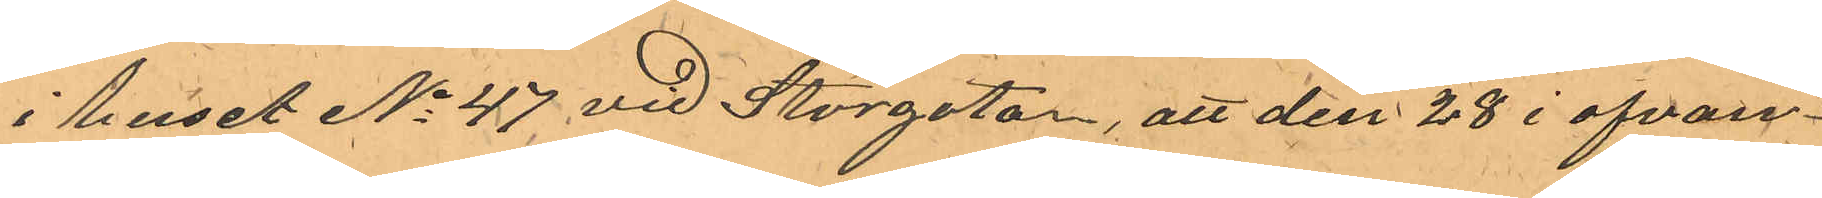i huset No 47 vid Storgatan, att den 28 i ofvan¬
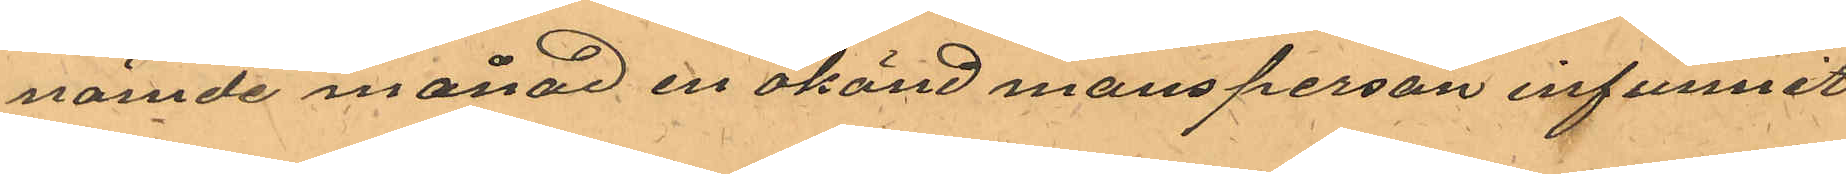nämde månad en okänd mansperson infunnit
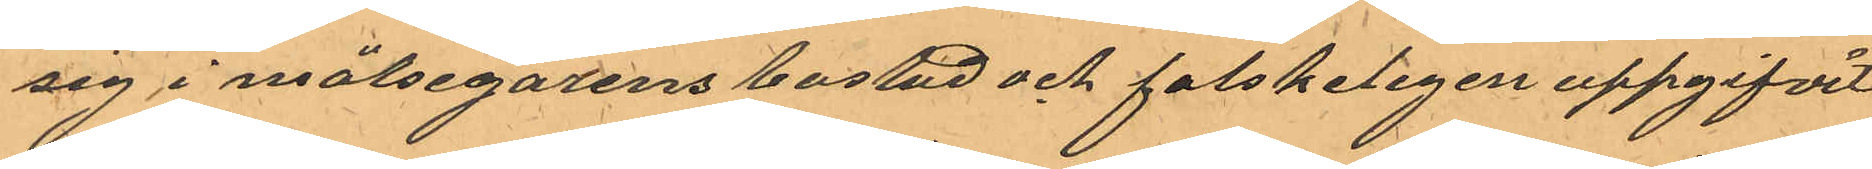sig i målsegarens bostad och falskeligen uppgifvit
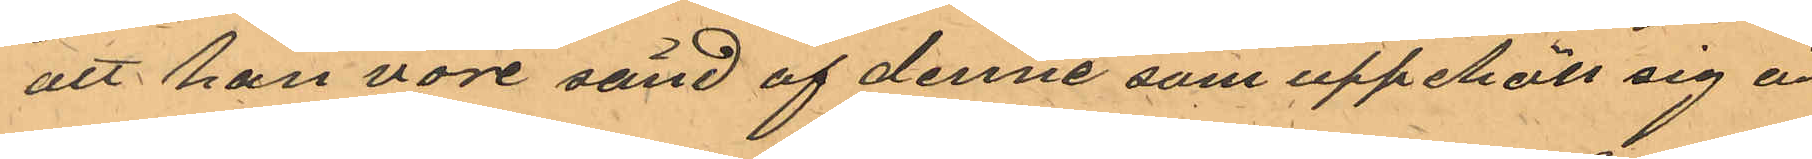att han vore sänd af denne som uppehöll sig å
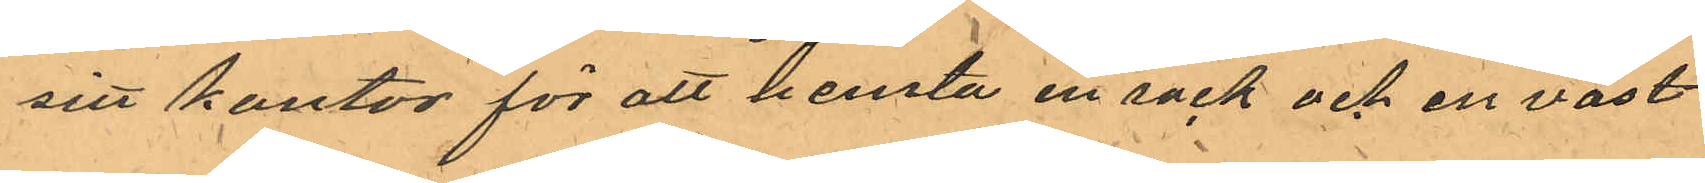sitt kontor för att hemta en rock och en väst
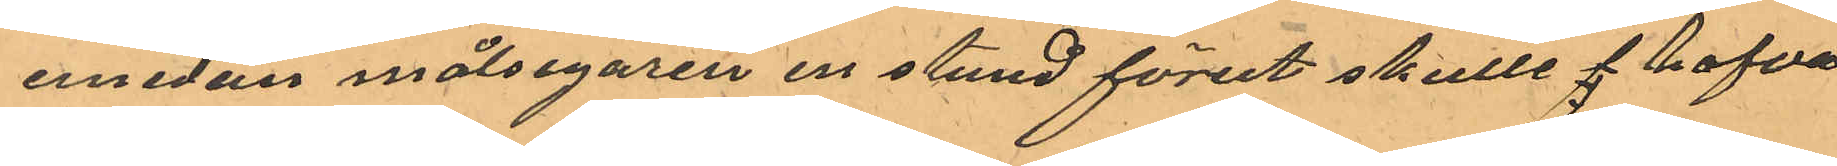emedan målsegaren en stund förut skulle f hafva
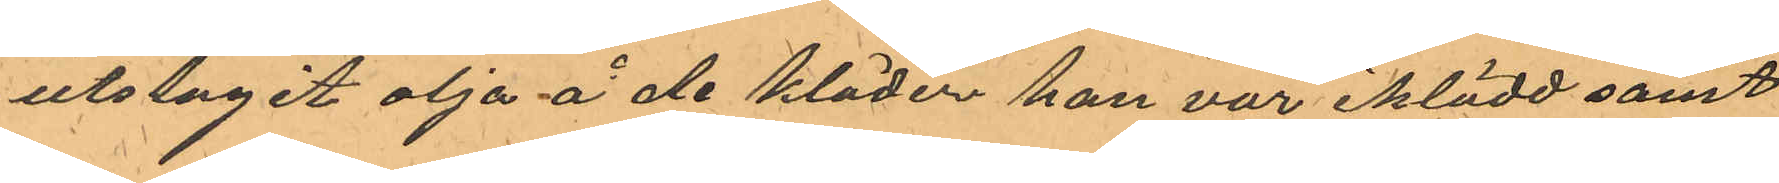utslagit olja å de kläder han var iklädd samt
